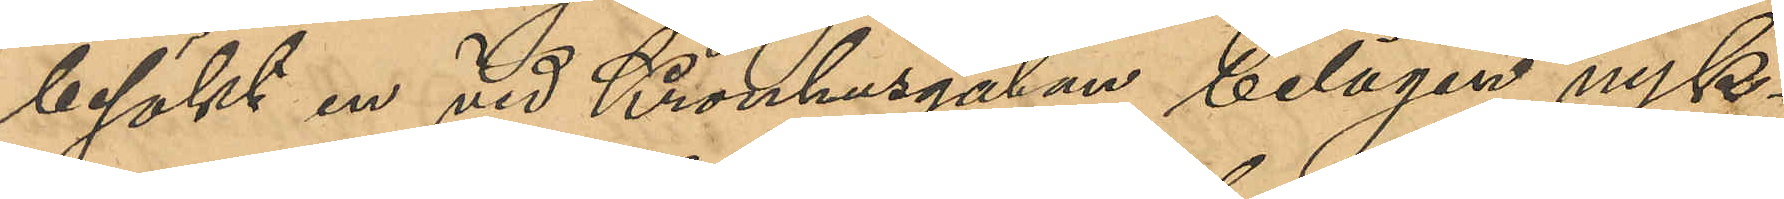besökt en vid Kronhusgatan belägen nyk¬
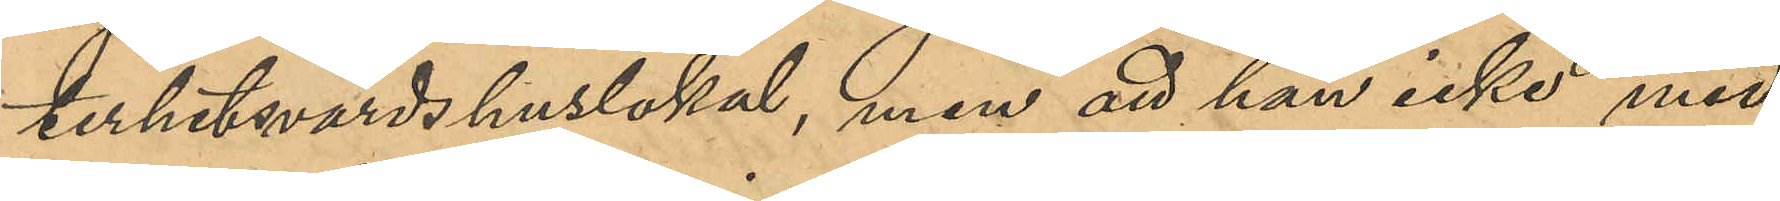terhetsvärdshuslokal, men att han icke med
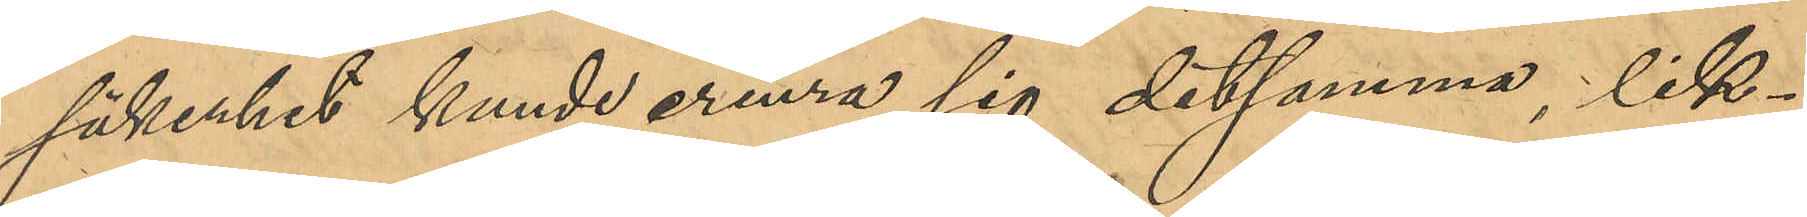säkerhet kunde erinra sig detsamma; lik¬
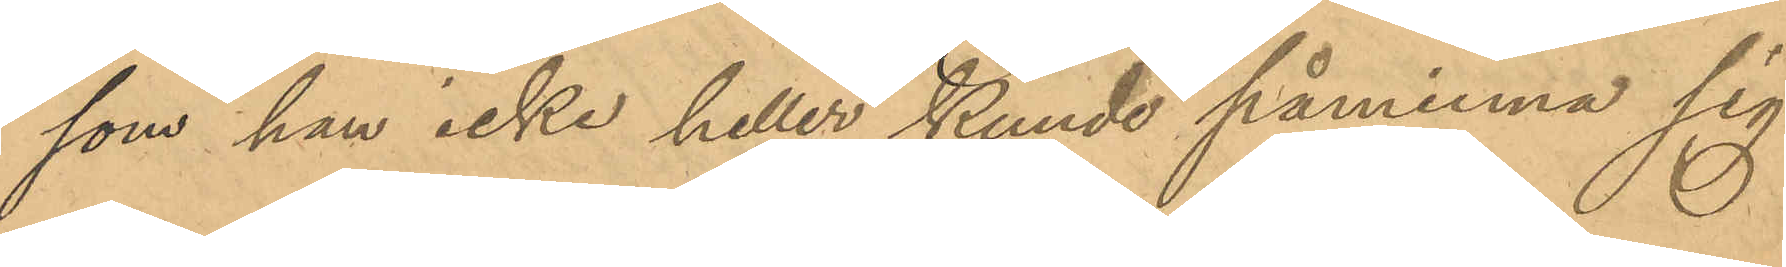som han icke heller kunde påminna sig
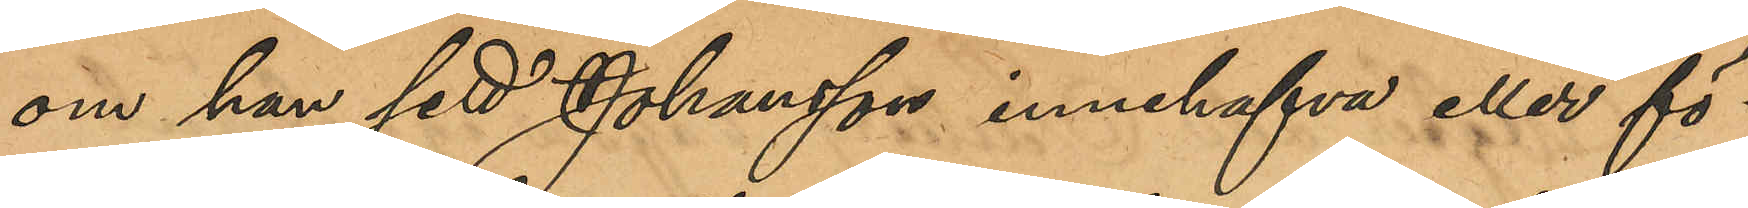om han sett Johansson innehafva eller fö¬
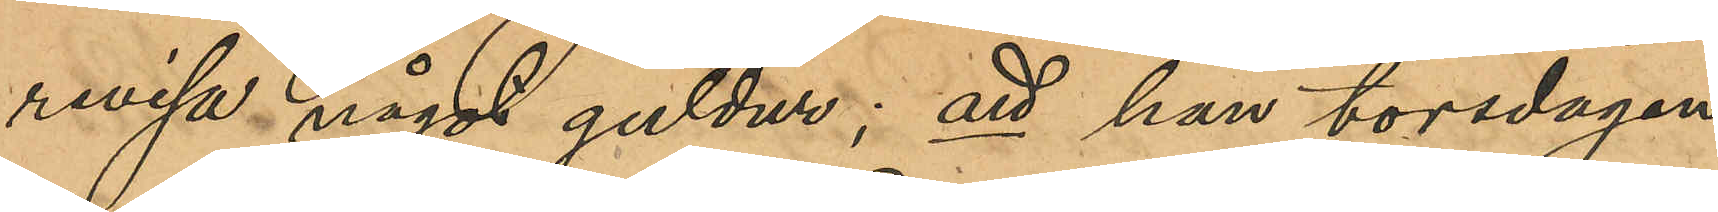revisa något guldur; att han torsdagen
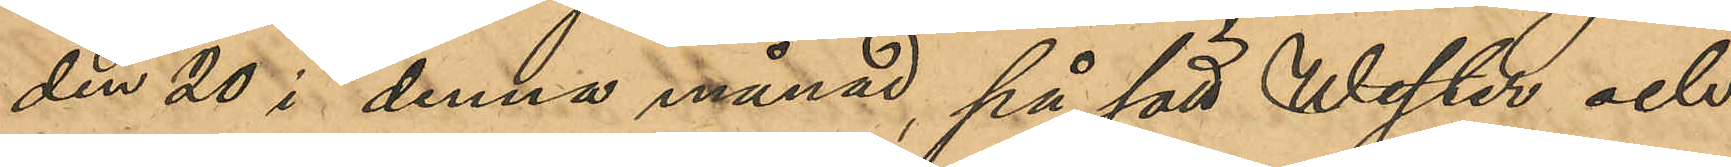den 20 i denna månad, på sätt Wester och
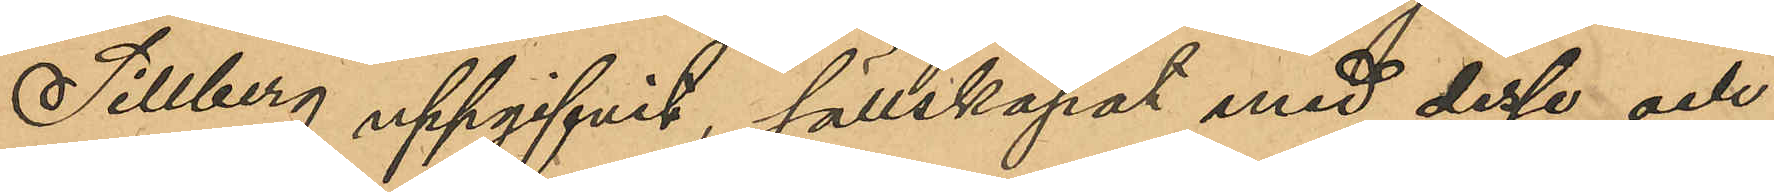Sillberg uppgifvit, sällskapat med desse och
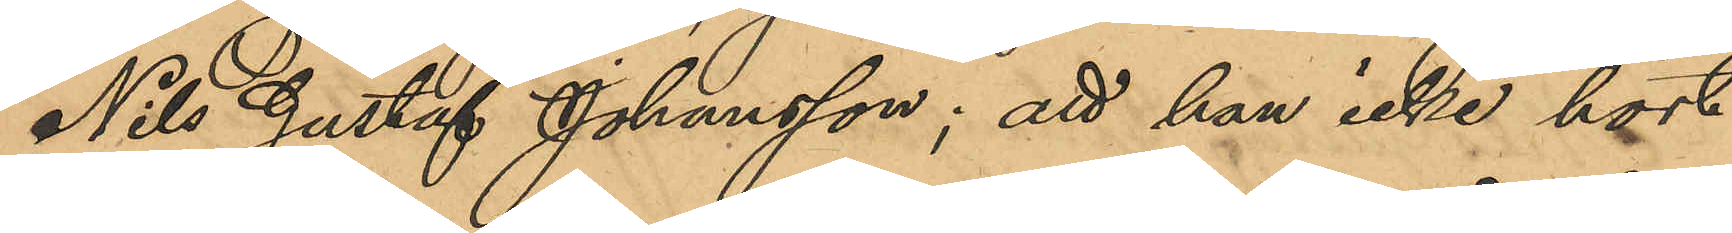Nils Gustaf Johansson; att han icke hört
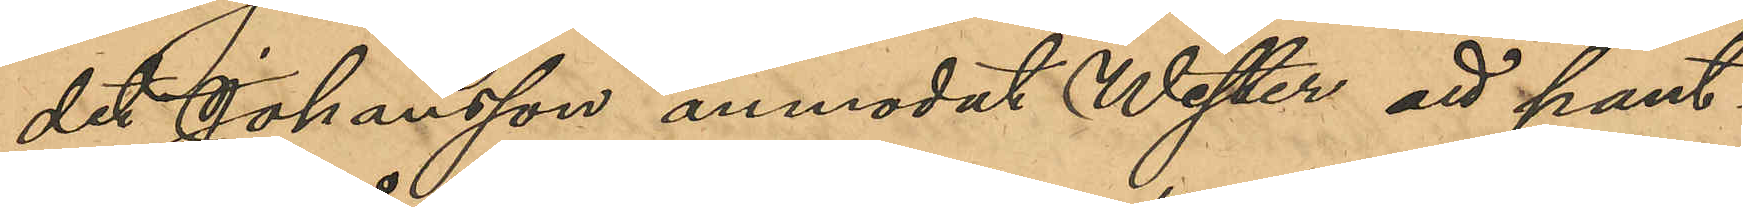det Johansson anmodat Wester att pant¬
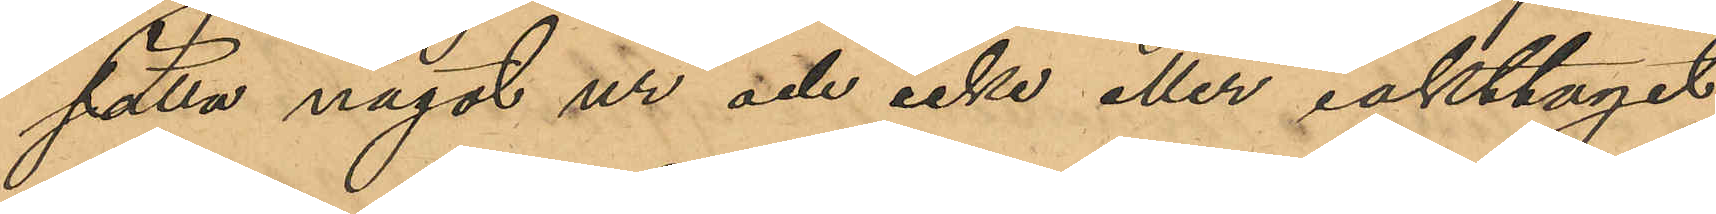sätta något ur och icke eller iakttagit
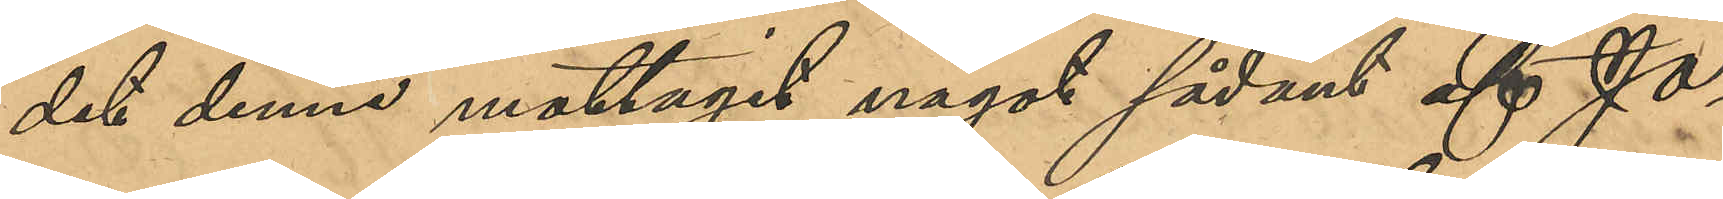det denne mottagit något sådant af Jo¬
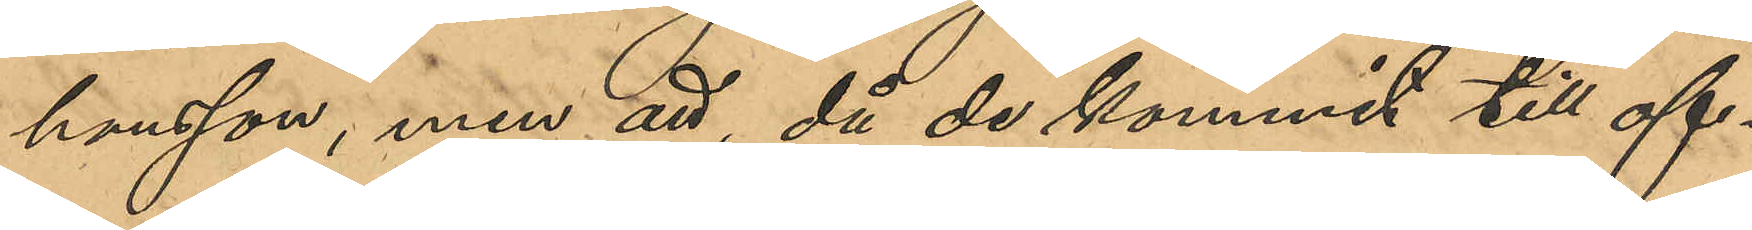hansson, men att, då de kommit till of¬
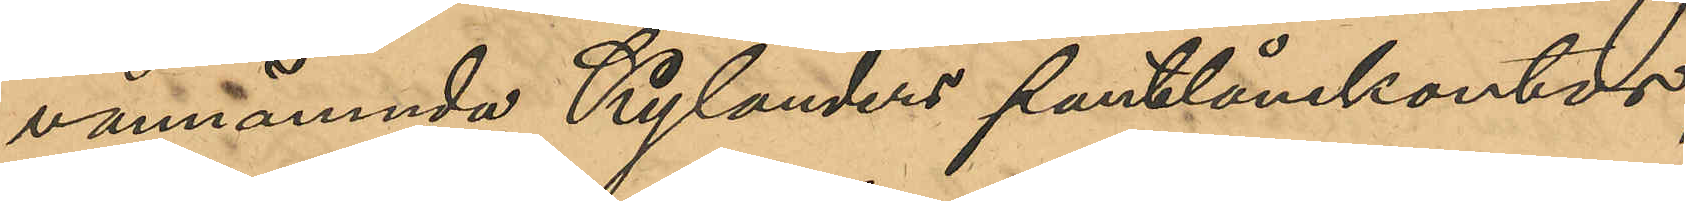vannämnde Kylanders pantlånekontor,
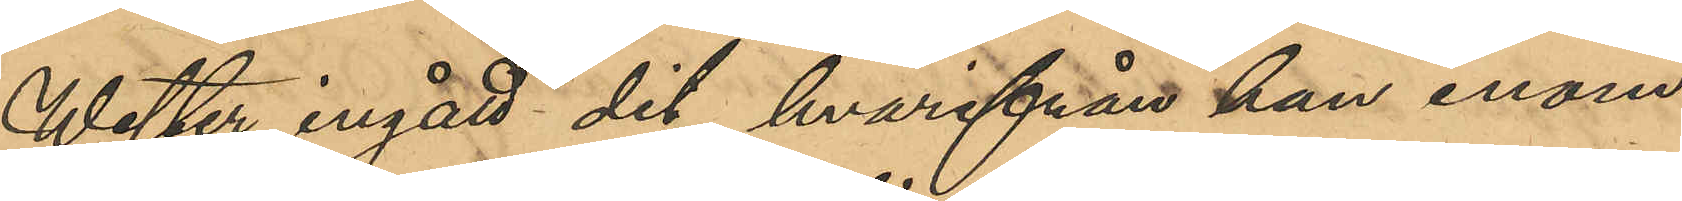Wester ingått dit, hvarifrån han inom
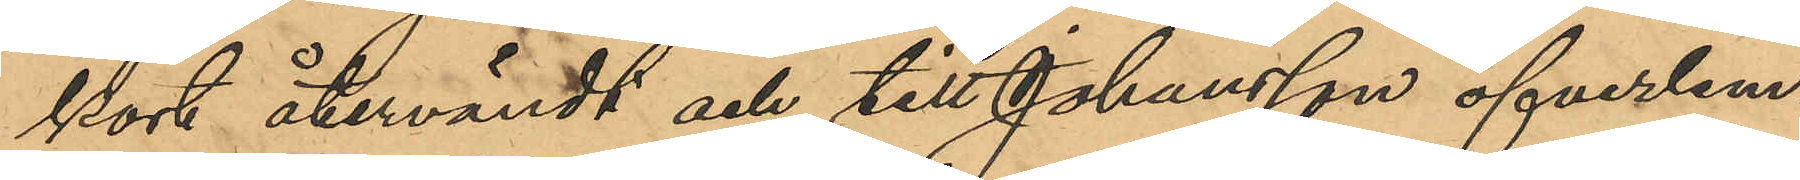kort återvändt och till Johansson öfverlem¬
